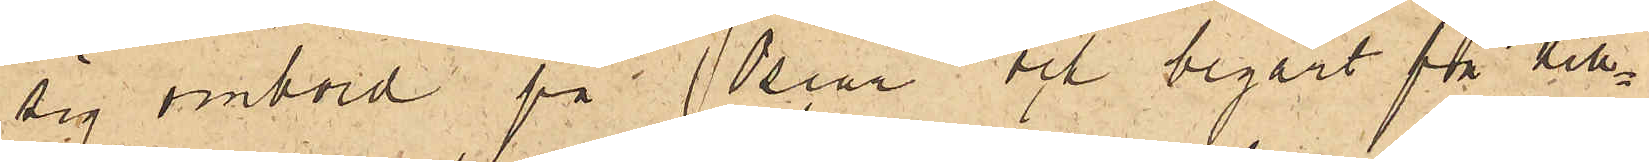sig ombord på Oscar och begärt få till¬
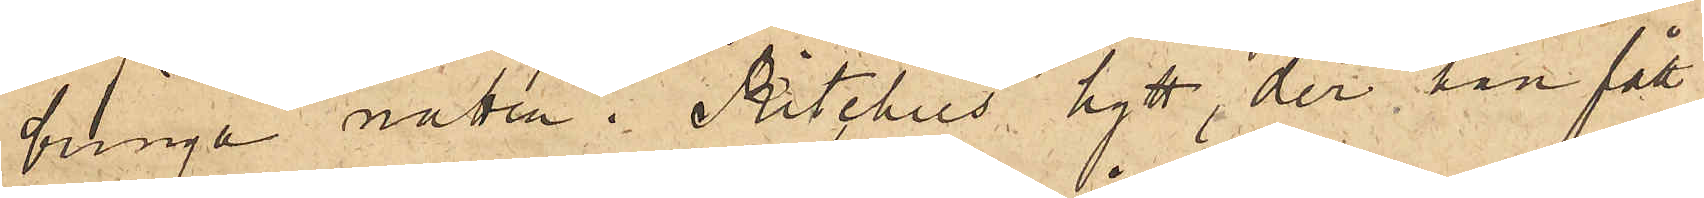bringa natten i Ritchies hytt, der han fått
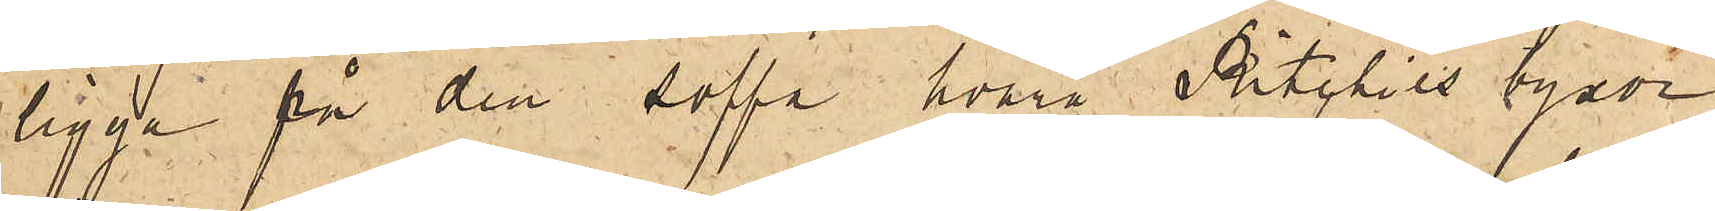ligga på den soffa, hvarå Ritchies byxor
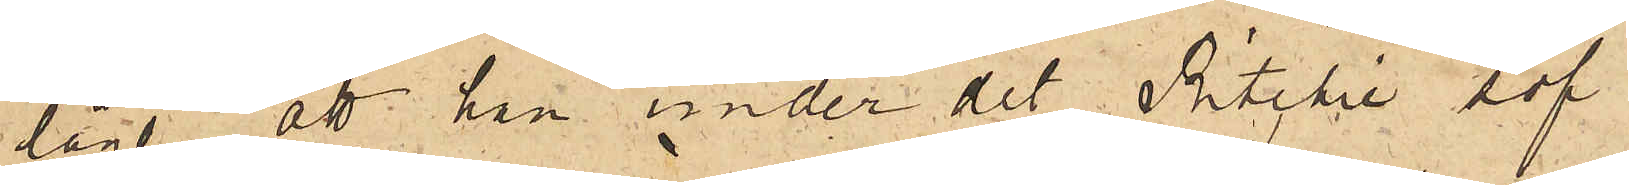lågo, att han under det Ritchie sof
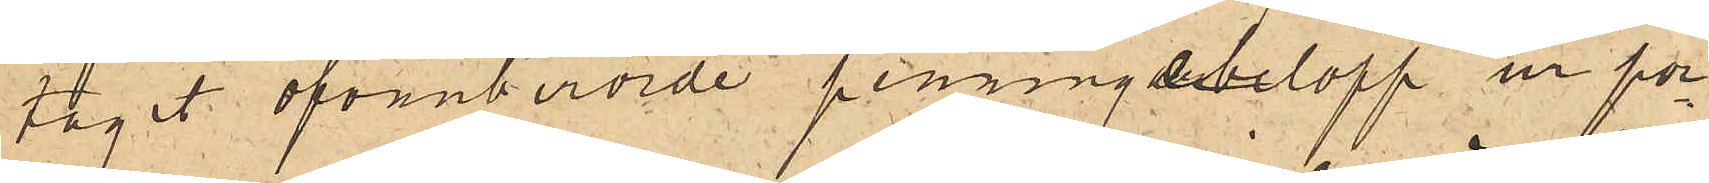tagit ofvanberörde penningebelopp ur por¬
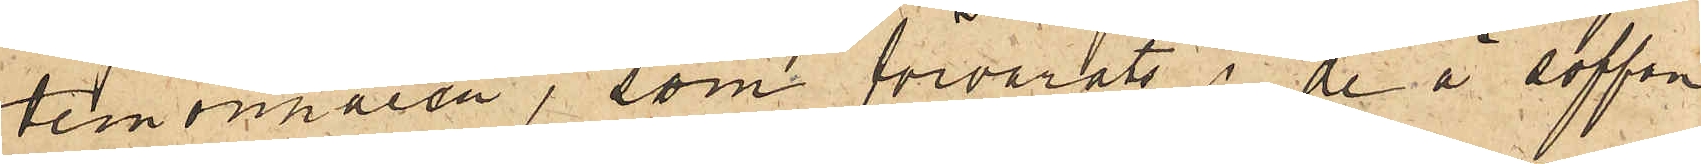temonnaien, som förvarats i de å soffan
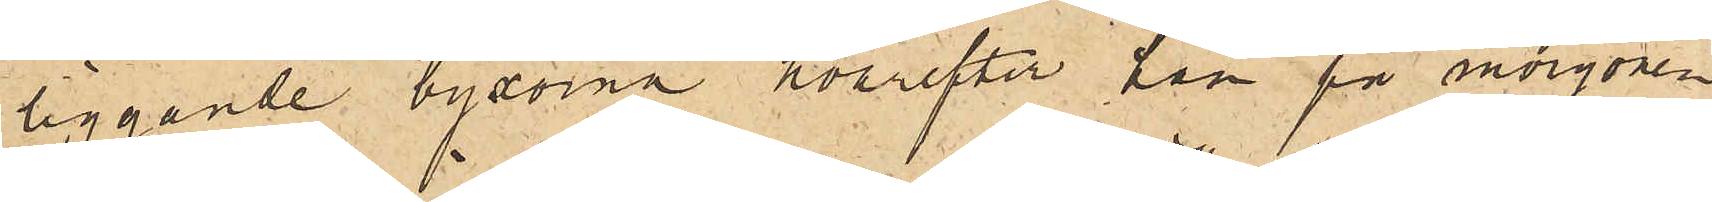liggande byxorna hvarefter han på morgonen
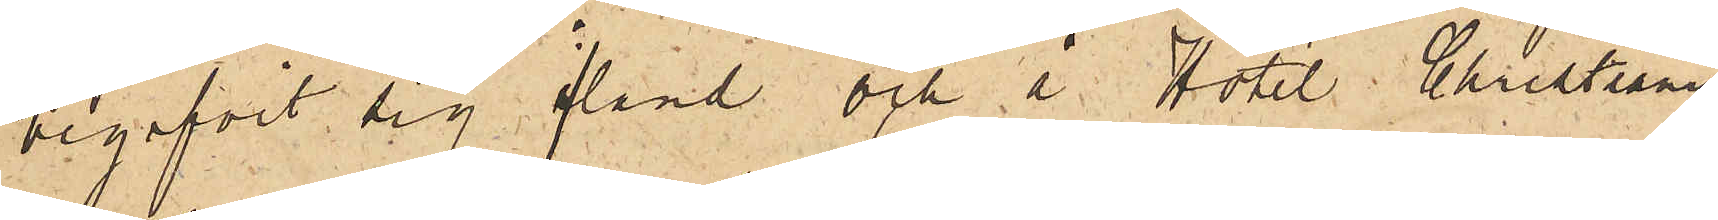begifvit sig iland och å Hotel  Christiania
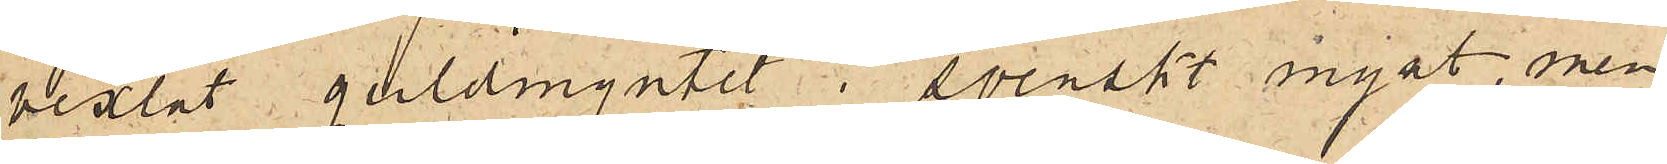vexlat guldmyntet i svenskt mynt, men
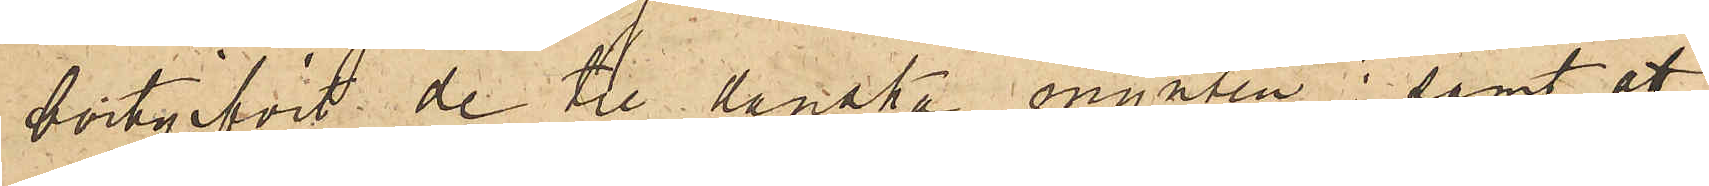bortgifvit de tre danska mynten; samt att
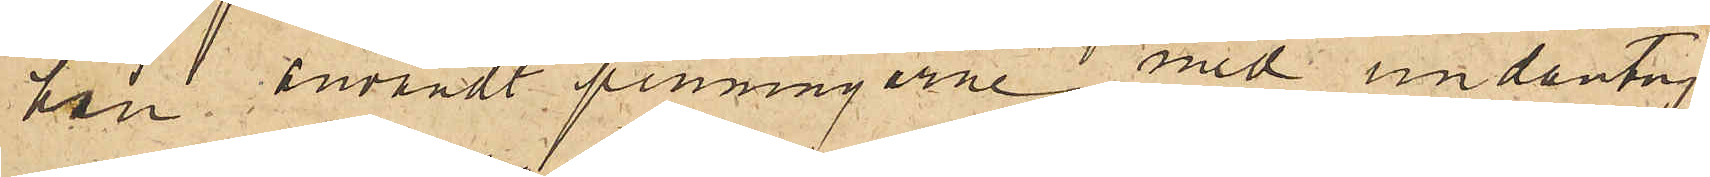han användt penningarne med undantag
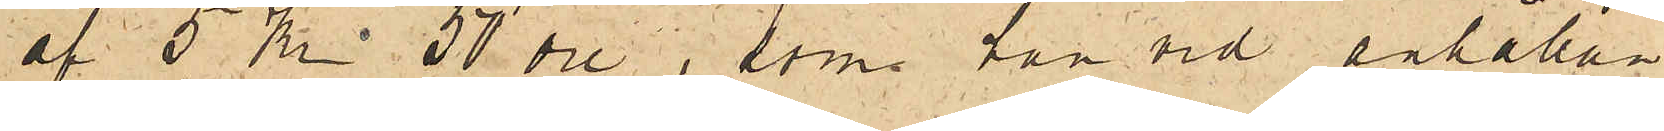af 5 Kr. 50 öre, som han vid anhållan¬
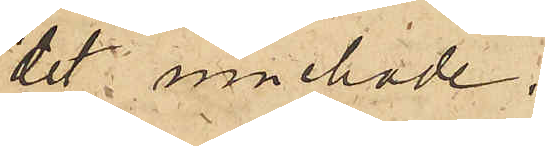det innehade.
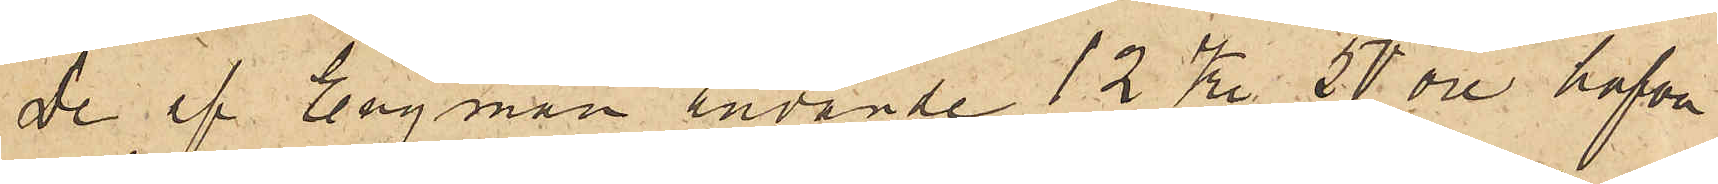De af Engman använde 12 Kr. 50 öre hafva
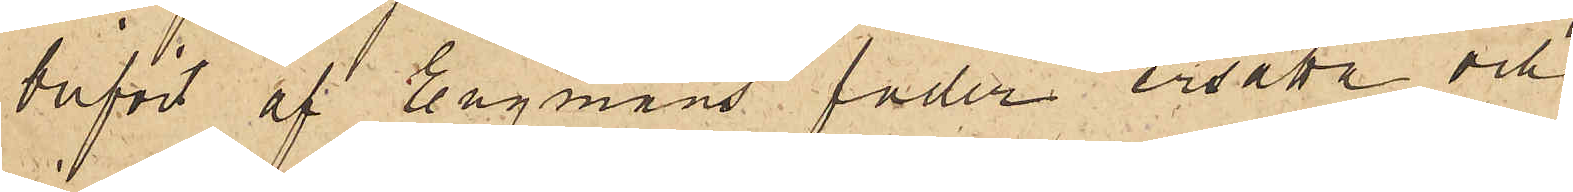blifvit af Engmans fader ersatta och
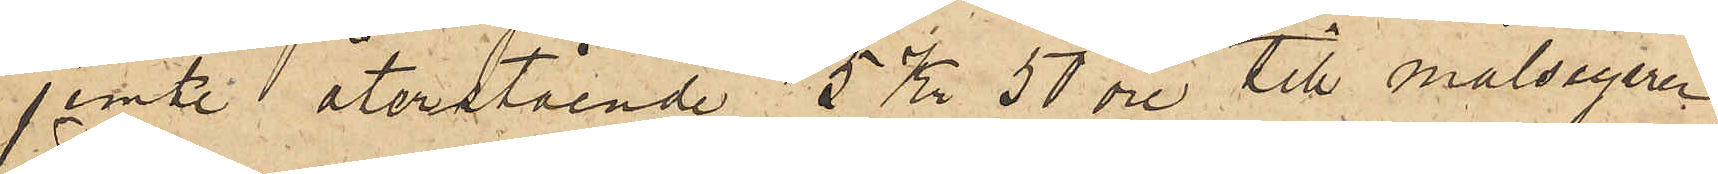jemte återstående 5 Kr 50 öre till målsegaren
